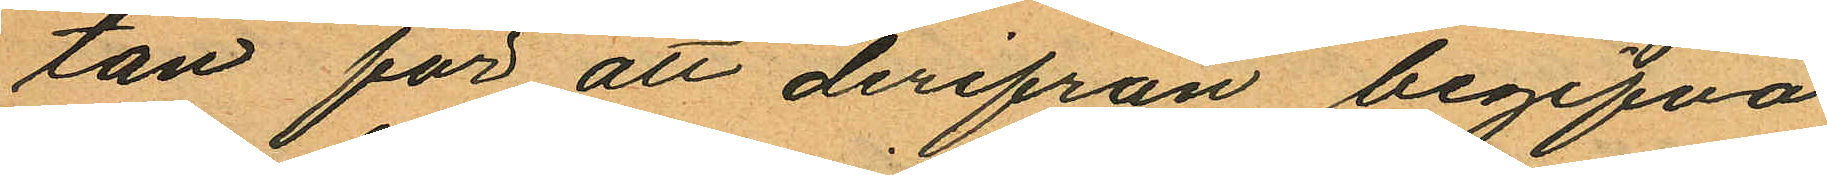tan för att derifrån begifva
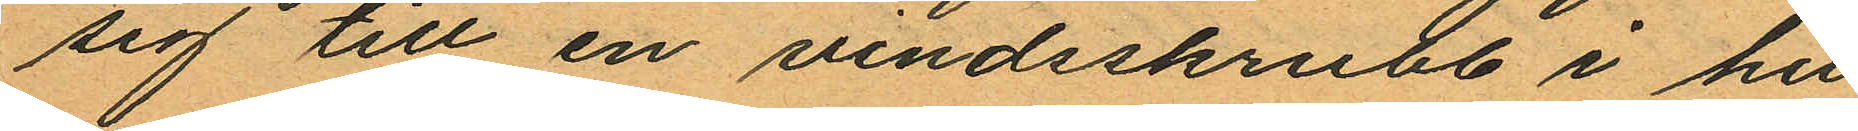sig till en vindsskrubb i hu¬
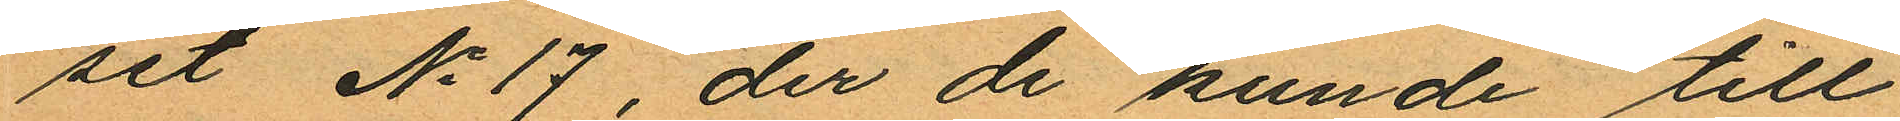set No 17 der de kunde till
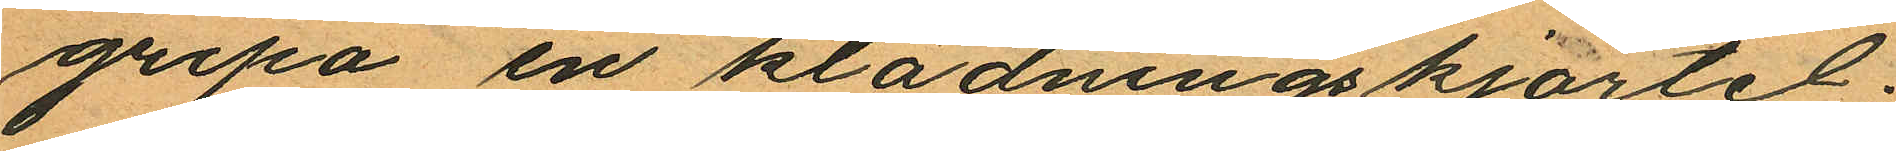gripa en klädningskjortel;
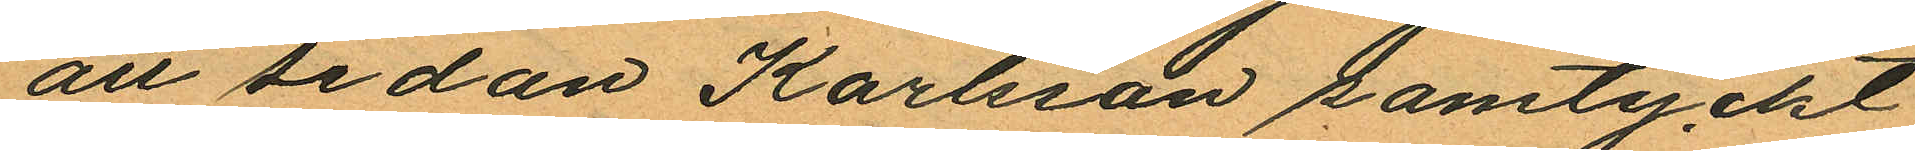att sedan Karlsson samtyckt
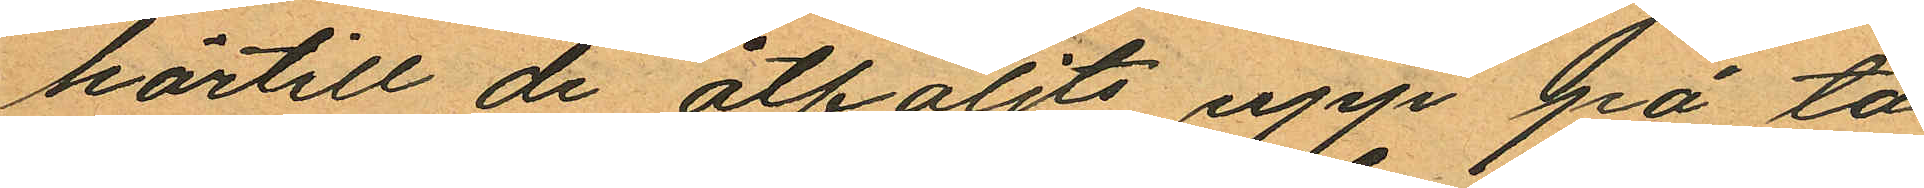härtill de åtföljts upp på ta
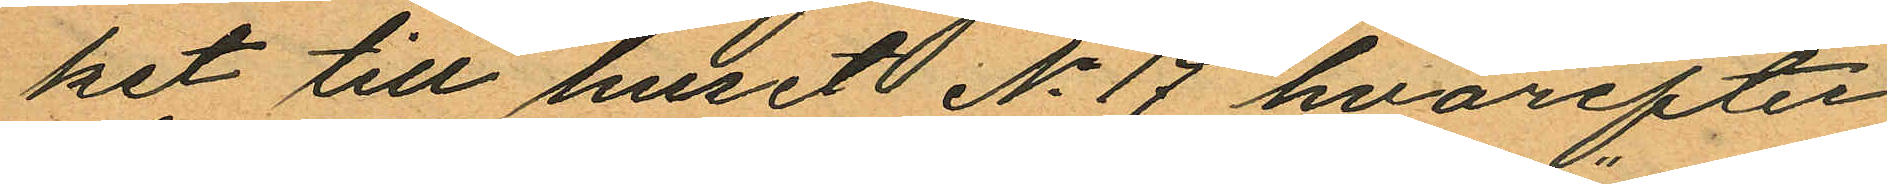ket till huset No 17 hvarefter
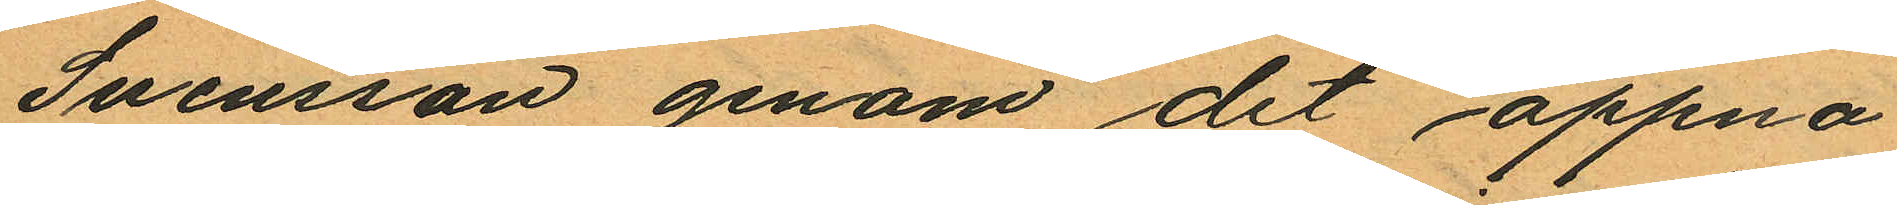Svensson genom det öppna
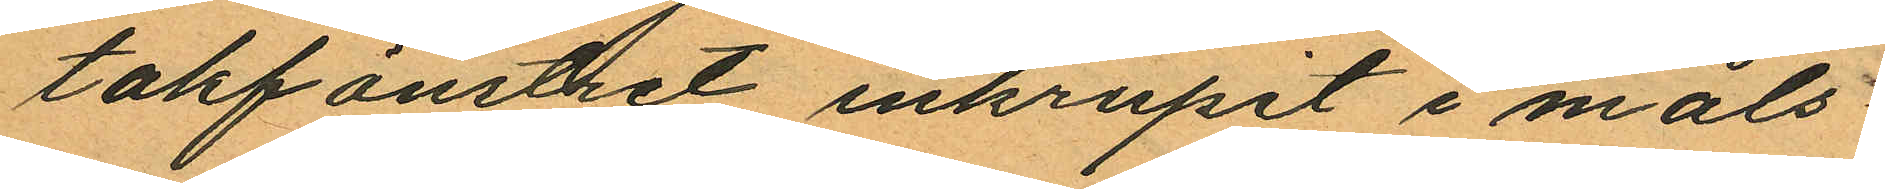takfönstret inkrupit i måls¬
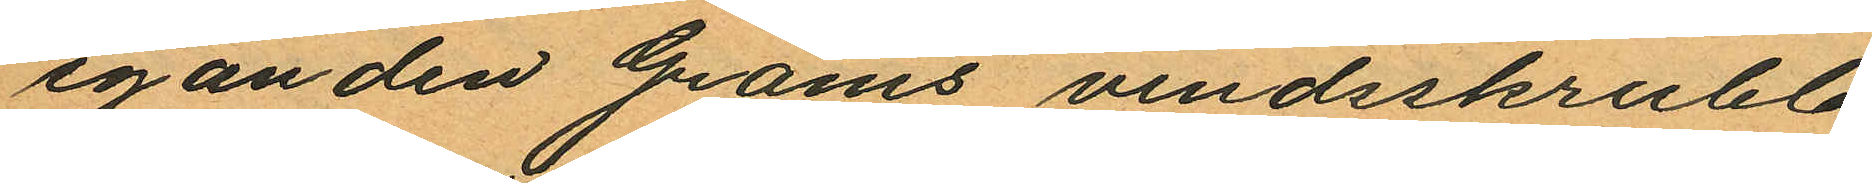eganden Grams vindsskrubb
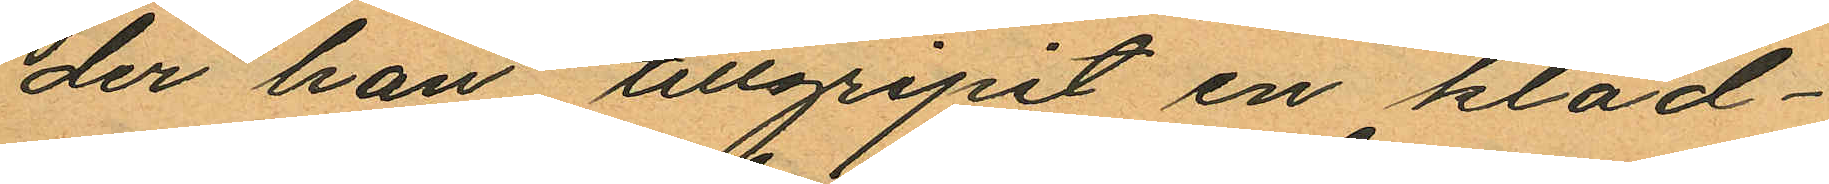der han tillgripit en kläd¬
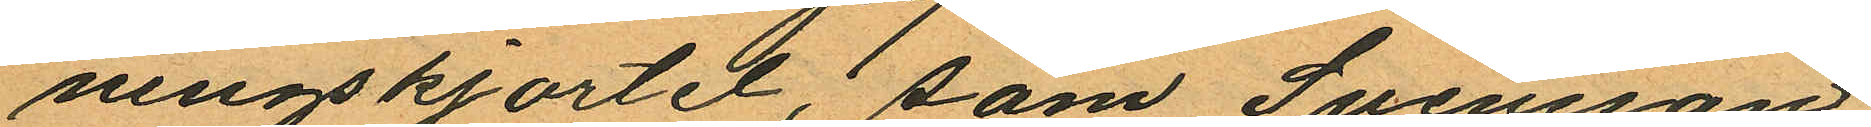ningskjortel, som Svensson
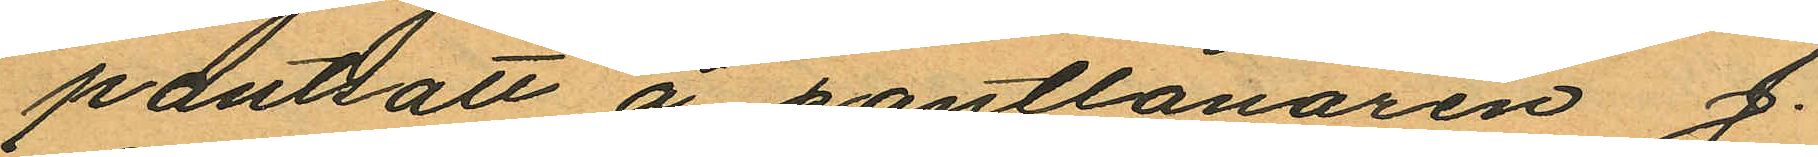pantsatt å pantlånaren J.
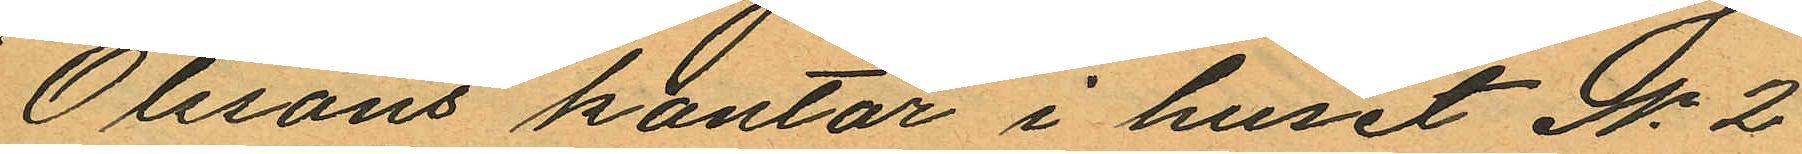Olssons kontor i huset No 2
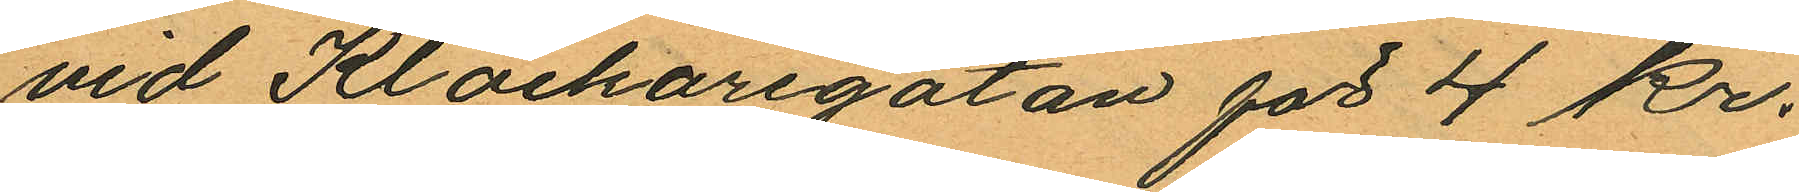vid Klockaregatan för 4 kr.
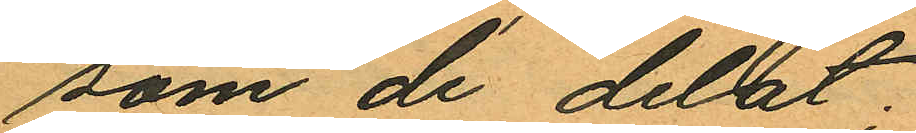som de delat;
